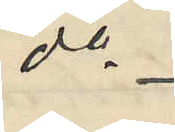do
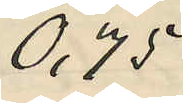0,75
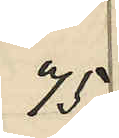75
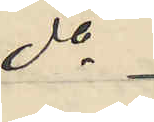do
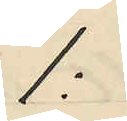1:
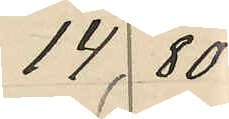14 80
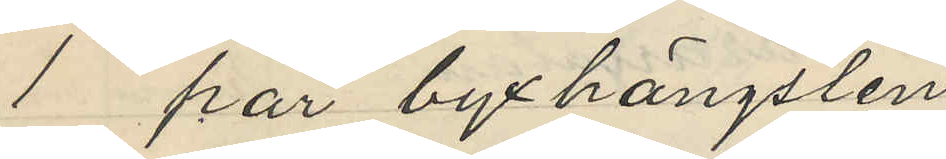1 par byxhängslen
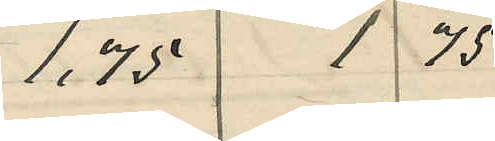1,75 1 75
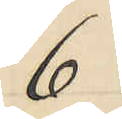6
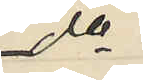do
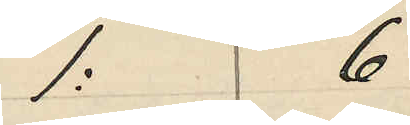1: 6
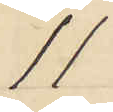11
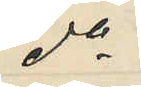do
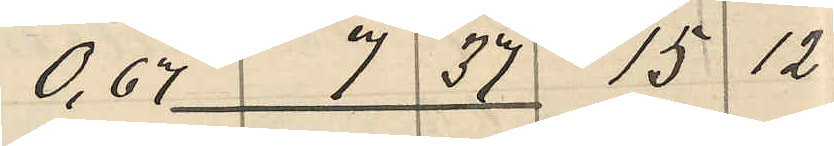0,67 7 37 15 12
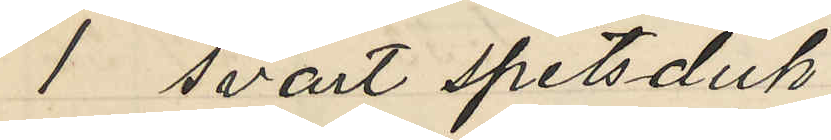1 svart spetsduk
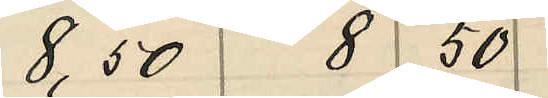8,50 8 50
